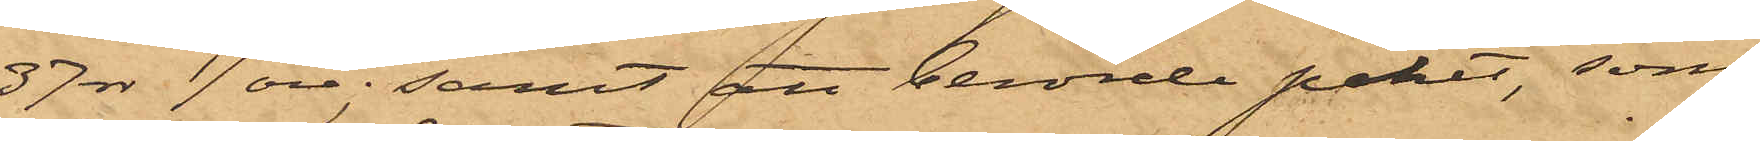37 rdr 17 öre; samt att berörde paket, som
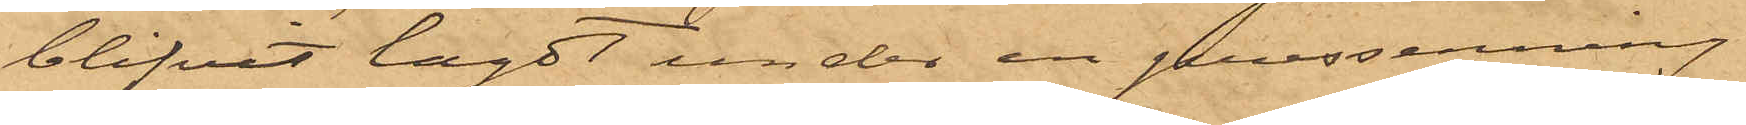blifvit lagdt under en presenning
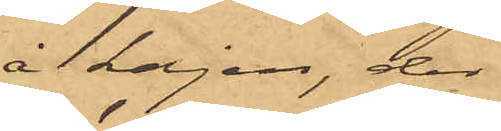å kajen, der
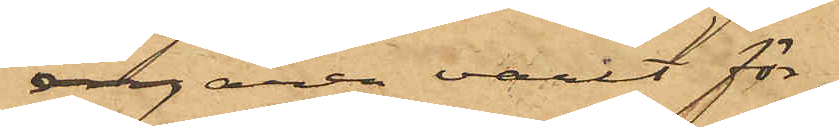ångaren varit för¬
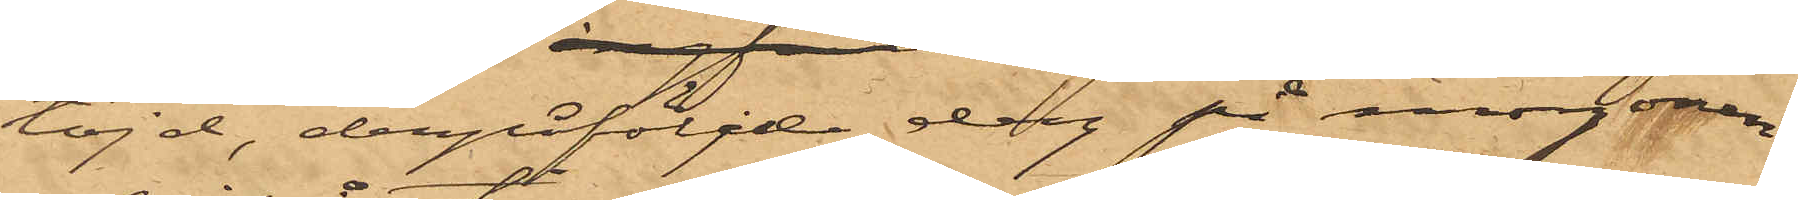töjd, derpåföljde dag på morgonen
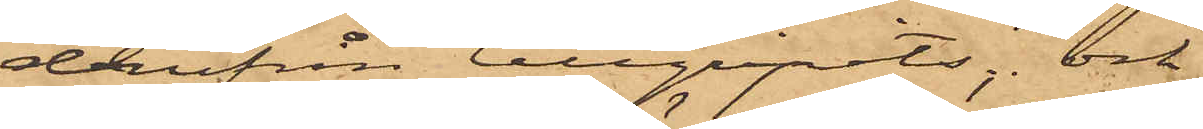derifrån tillgripits; och
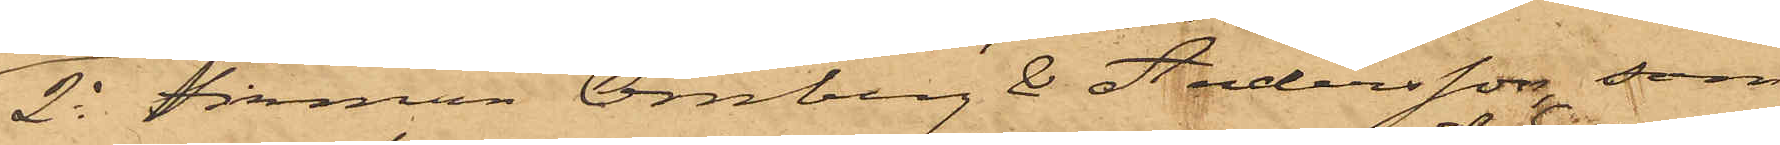2o Firman Örnberg E Andersson, som
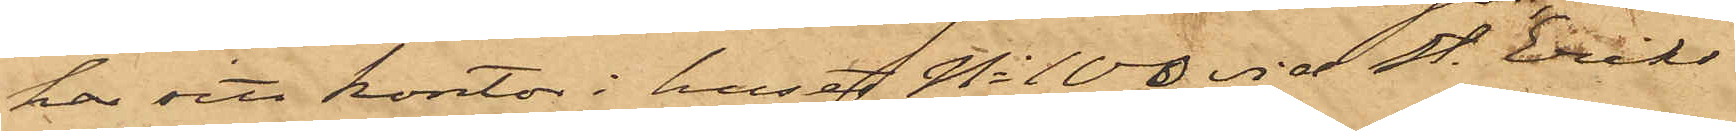har sitt kontor i huset No 100 vid St. Eriks
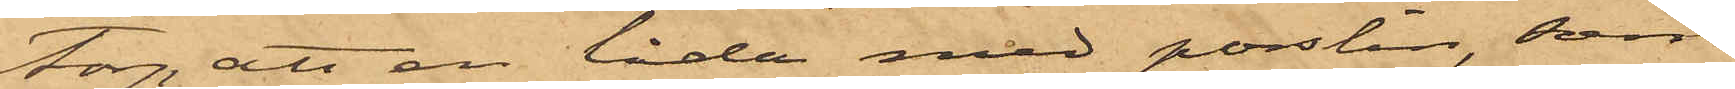Torg, att en låda med porslin, som
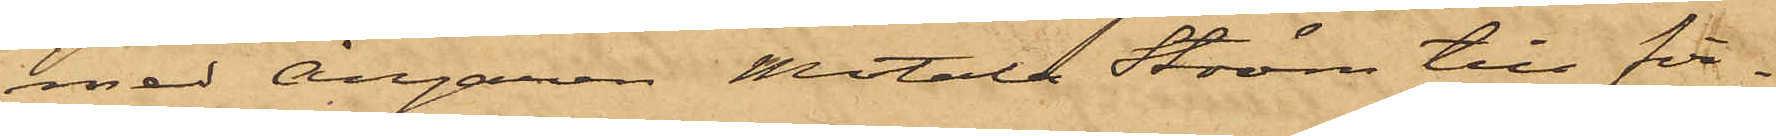med Ångaren Motala Ström till fir¬
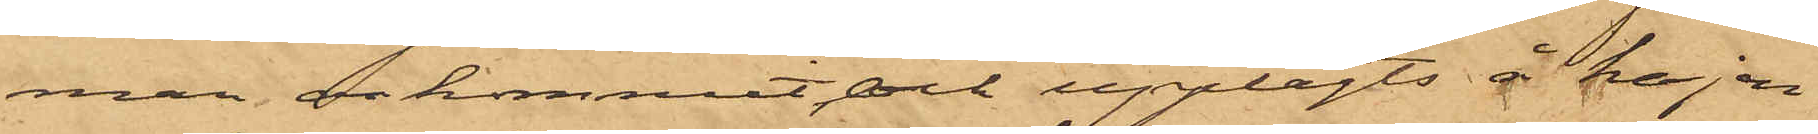man ankommit och upplagts å kajen
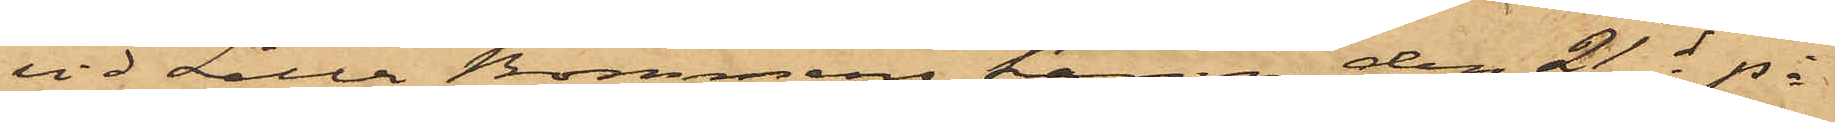vid Lilla Bommens hamn, den 21 ds på
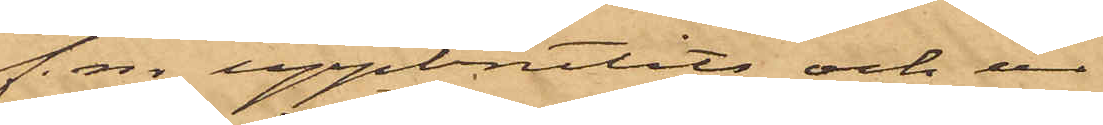f.m uppbrutits och ur
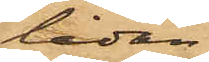lådan
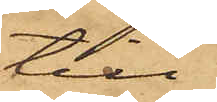till¬
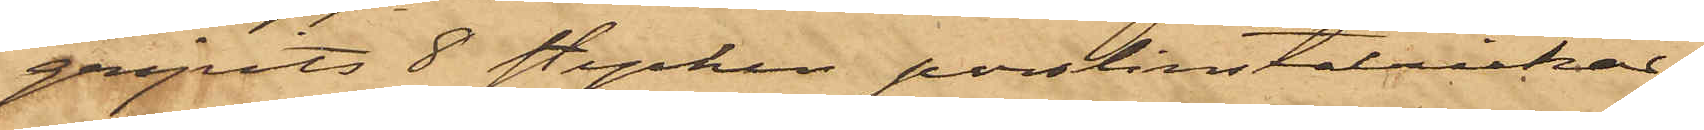gripits 8 stycken porslinstallrikar.
